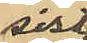sist.
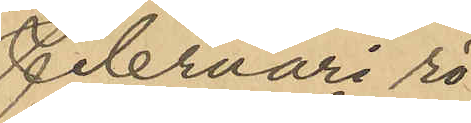Februari rö¬
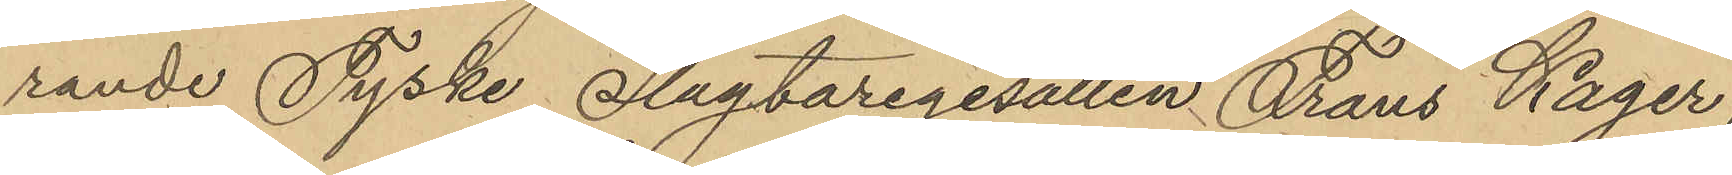rande Tyske Slagtaregesällen Frans Kager,
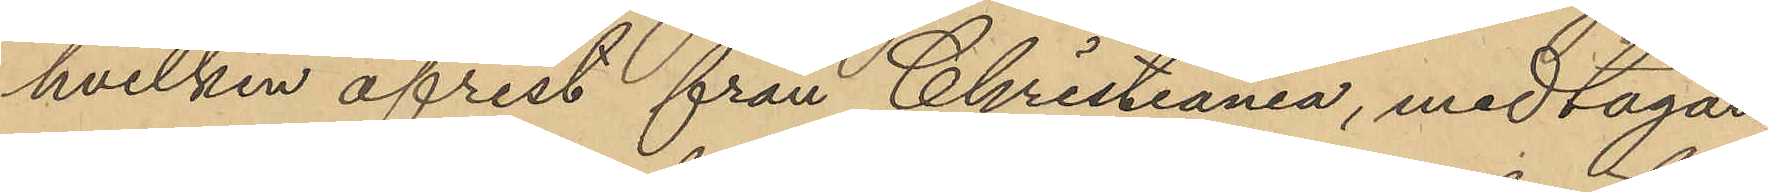hvilken afrest från Christiania, medtagan¬
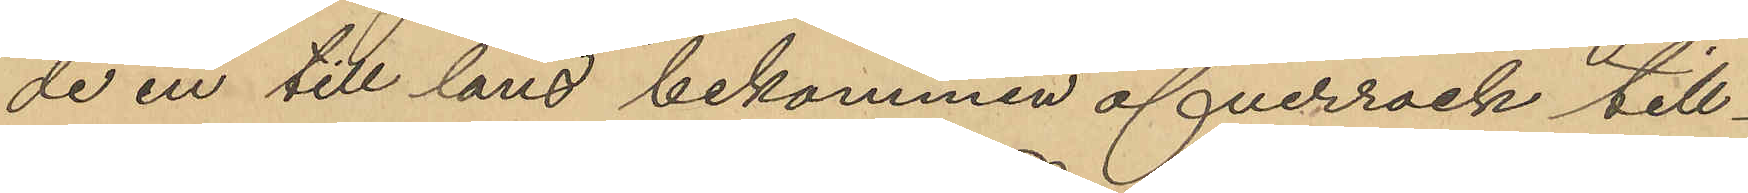de en till låns bekommen öfverrock till¬
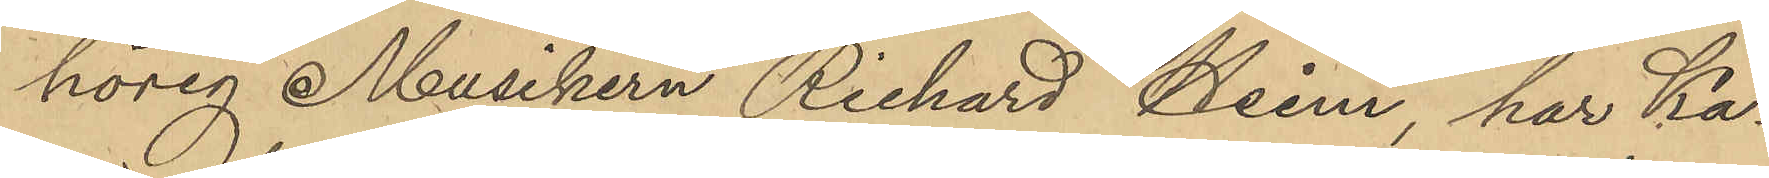hörig Musikern Richard Heim har Ka¬
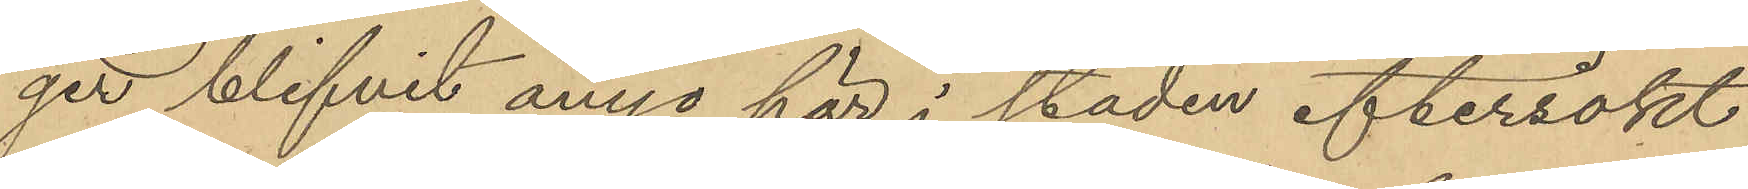ger blifvit ånyo här i staden eftersökt
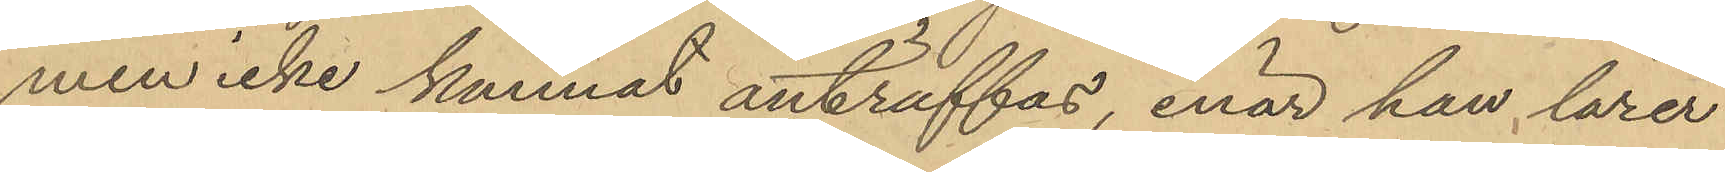men icke kunnat anträffas, enär han lärer
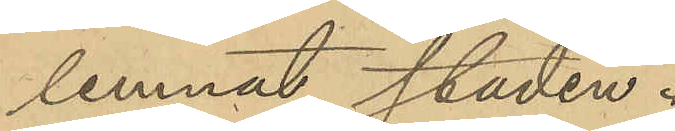lemnat staden.
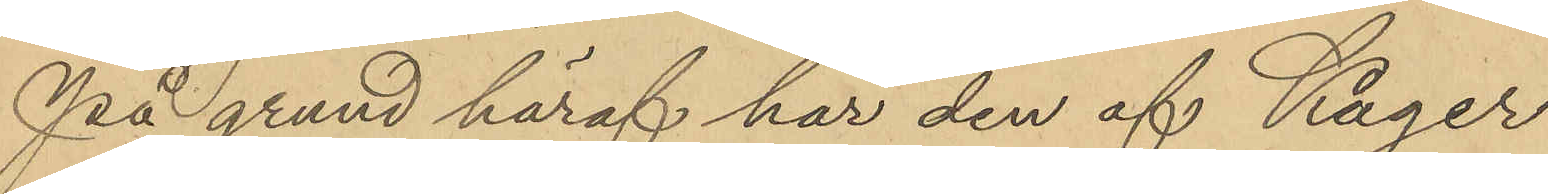På grund häraf har den af Kager
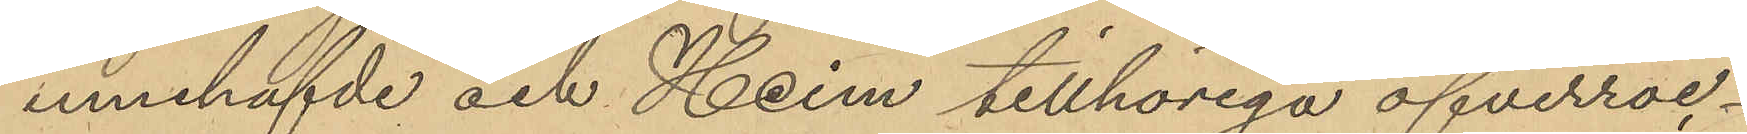innehafvde och Heim tillhöriga öfverroc¬
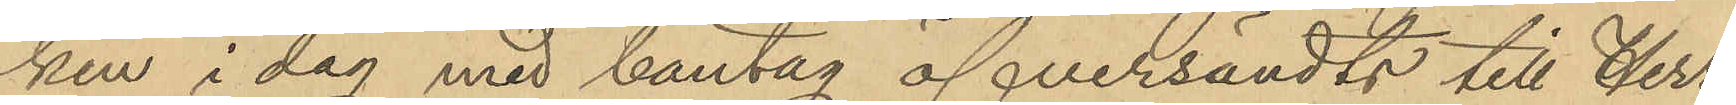ken i dag med bantag öfversändts till Herr
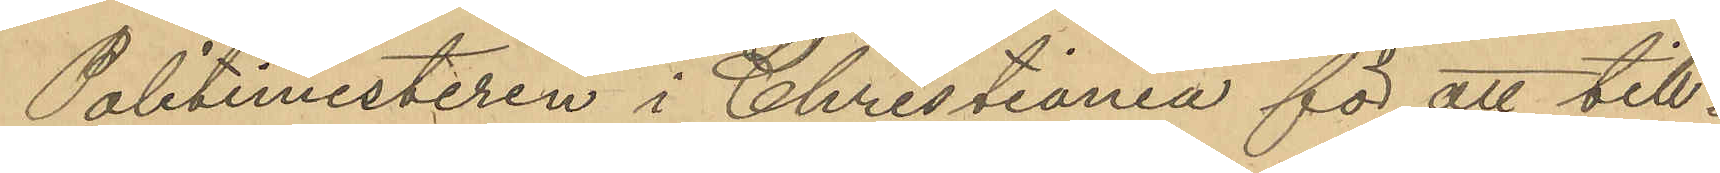Politimesteren i Christiania för att till¬
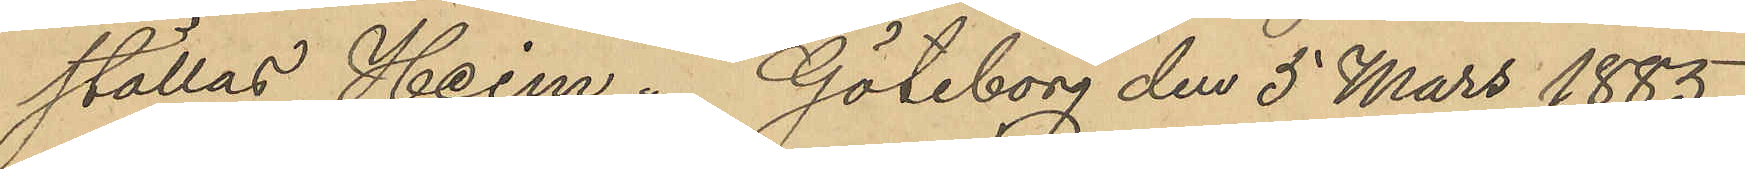ställas Heim. Göteborg den 5 Mars 1885.
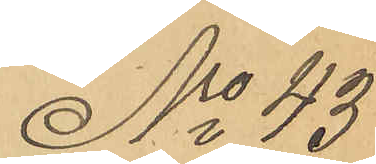No 43
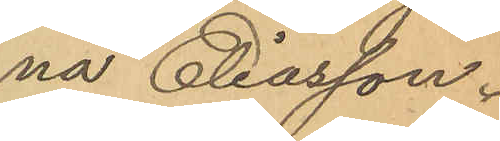na Eliasson.
